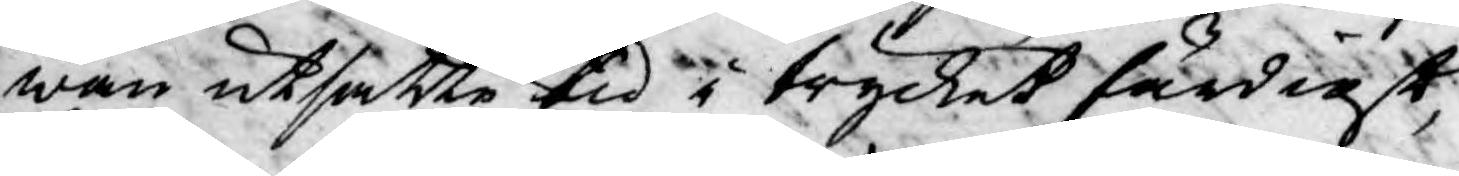wan utsatte tid i trycket färdigt,
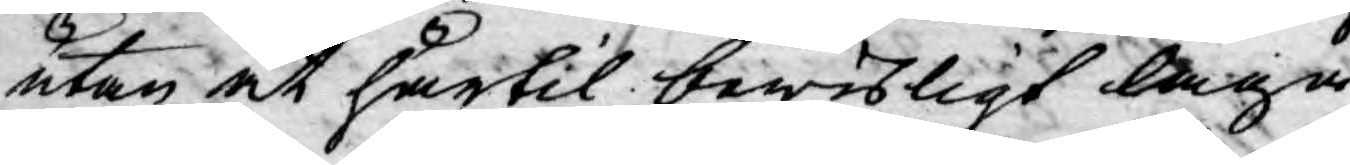utan at härtil bewisligt laga
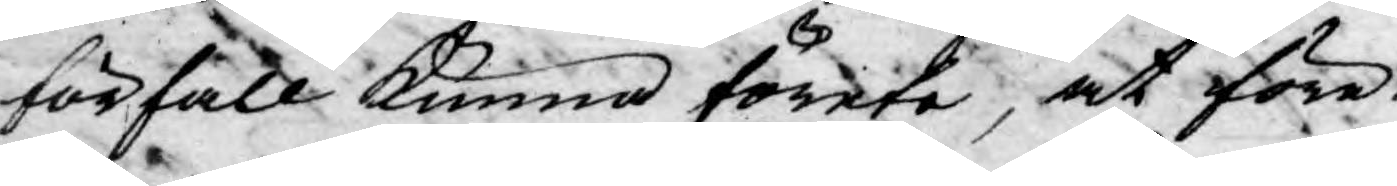förfall kunna förete, at före¬
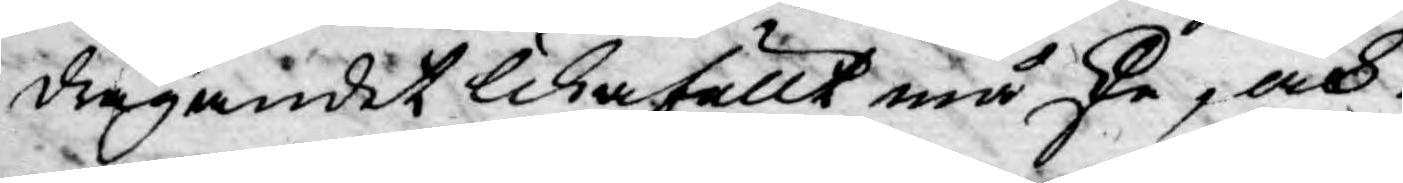dragandet likafullt må ske, och
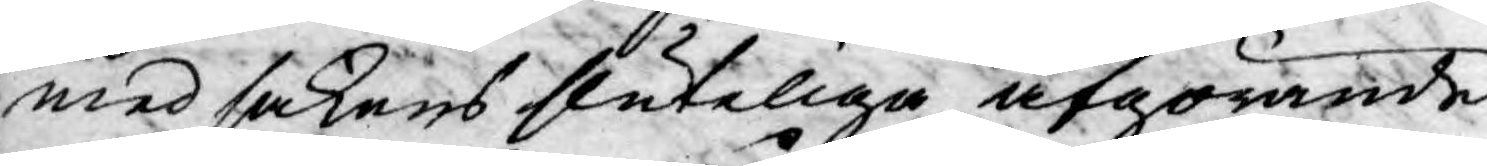med sakens sluteliga afgörande
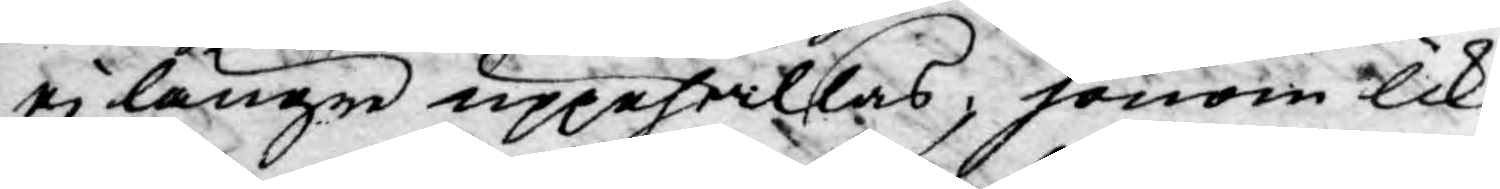ej längre uppehållas, honom lik¬
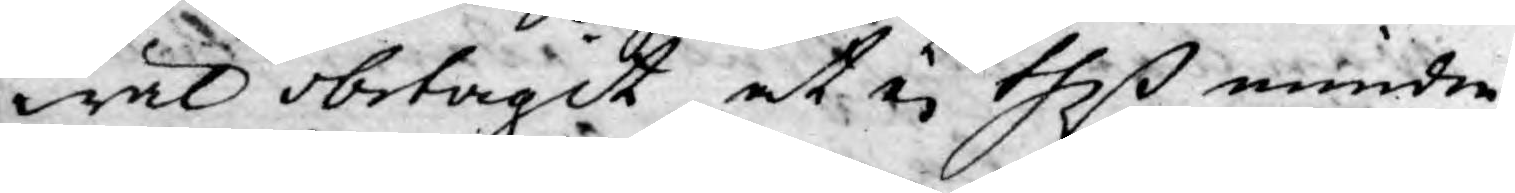wäl obetagit at ej theß mindre
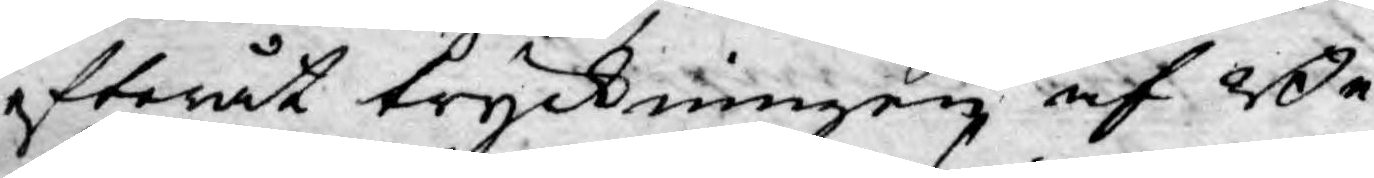efteråt tryckningen af Be¬
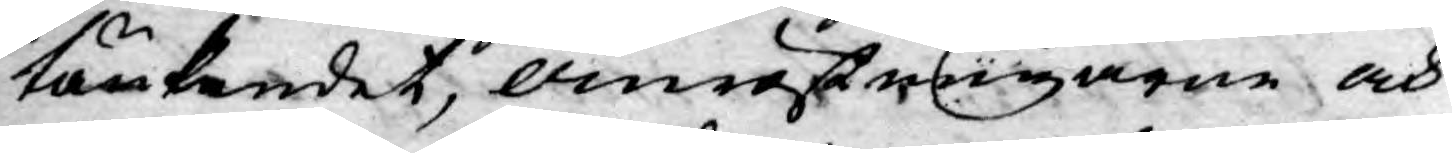tänkandet, omröstningarne och
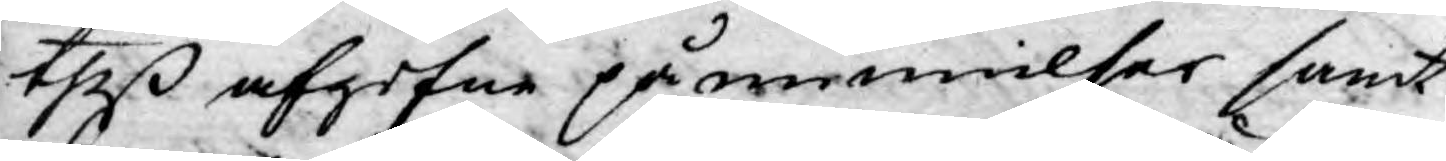theß afgifne påminnelser samt
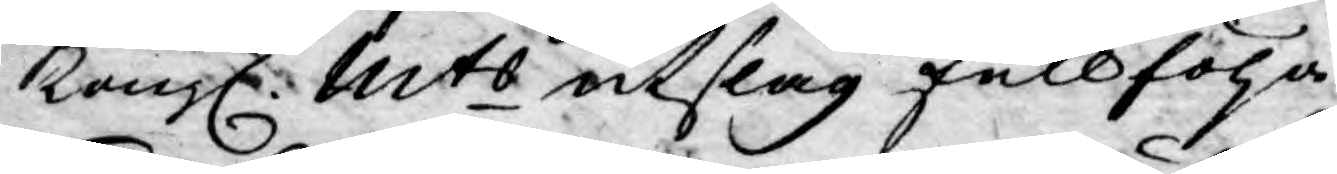Kongl. Mts utslag fullfölja.
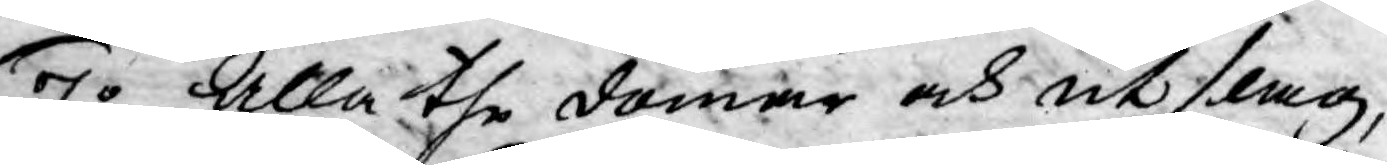7:o Alla the domar och utslag,
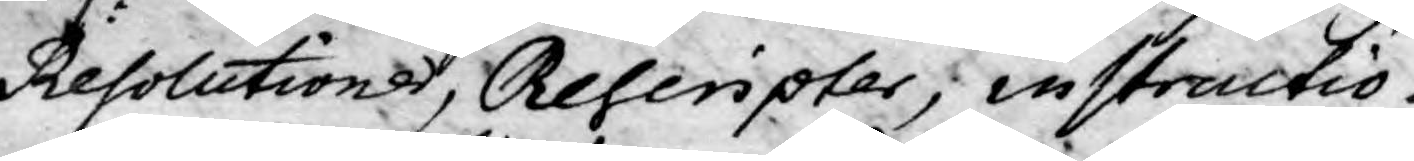Resolutioner, Rescripter; instructio¬
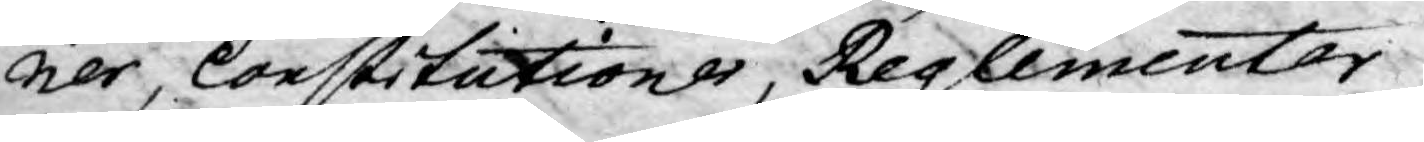ner, Constitutioner, Reglementer
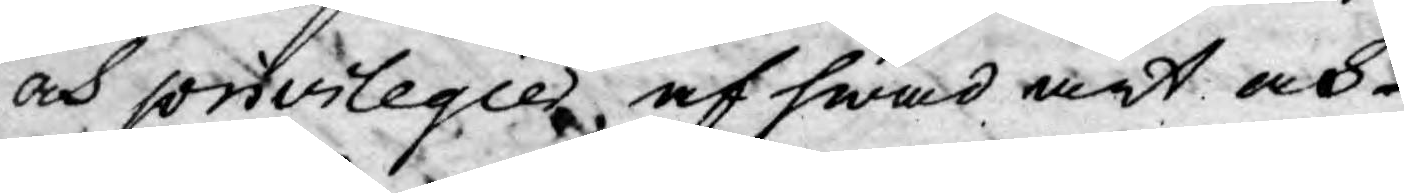och privilegier af hwad art och
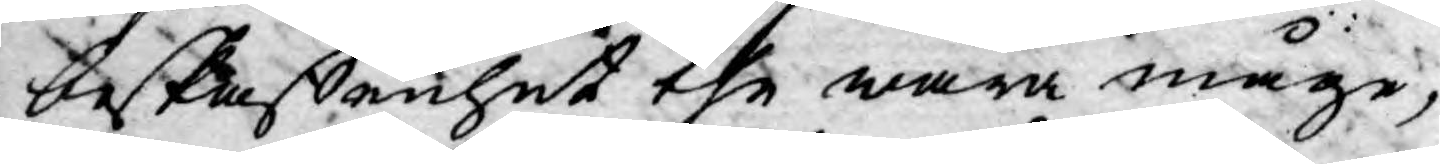beskaffenhet the wara måge,
